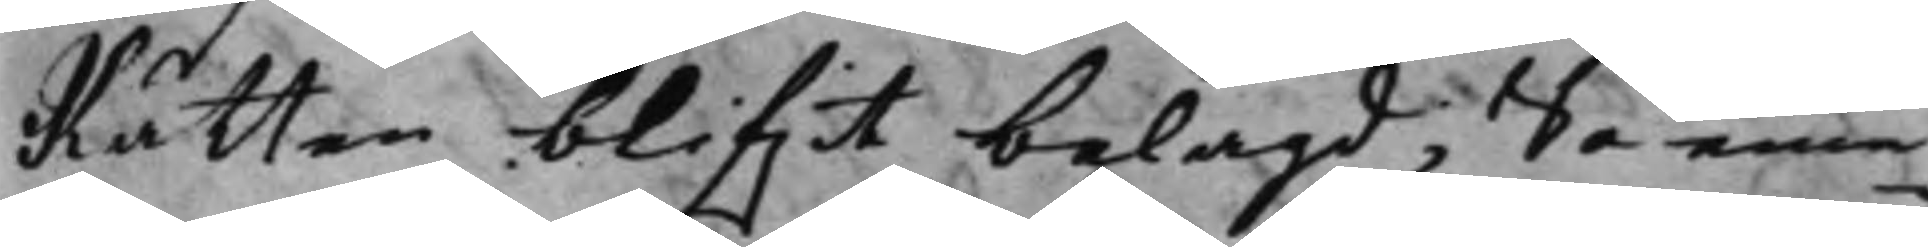Rätten blifwit belagd; Så eme¬
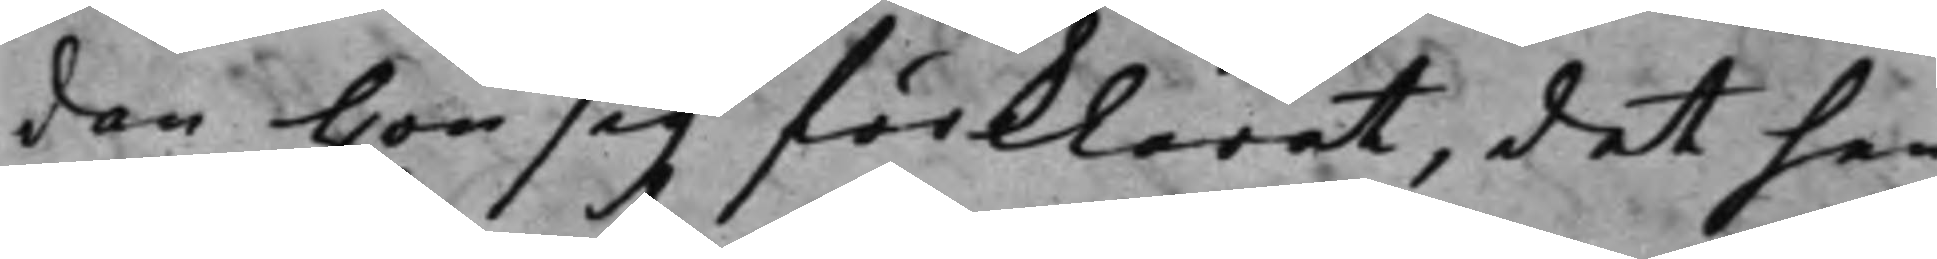dan hon sig förklarat, det hen¬
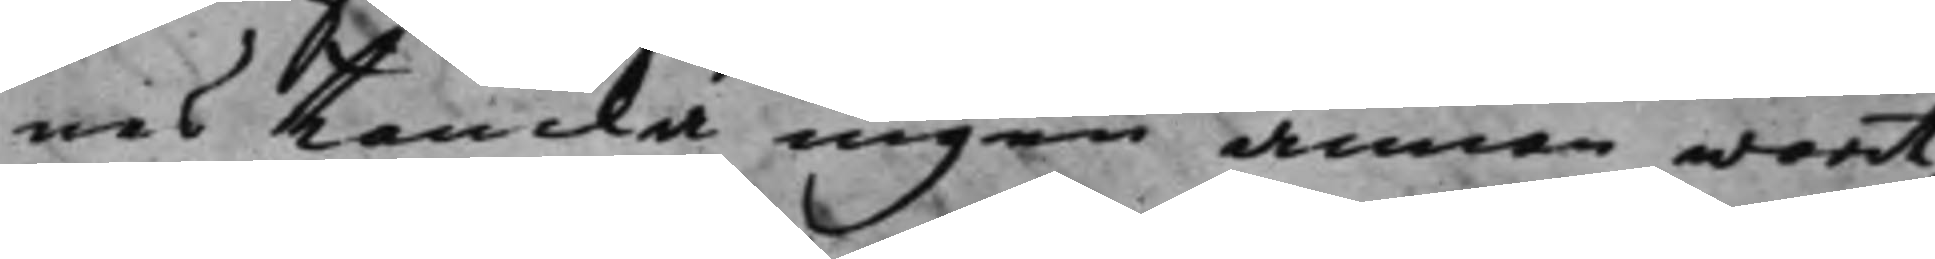nes tencka ingen annan warit,
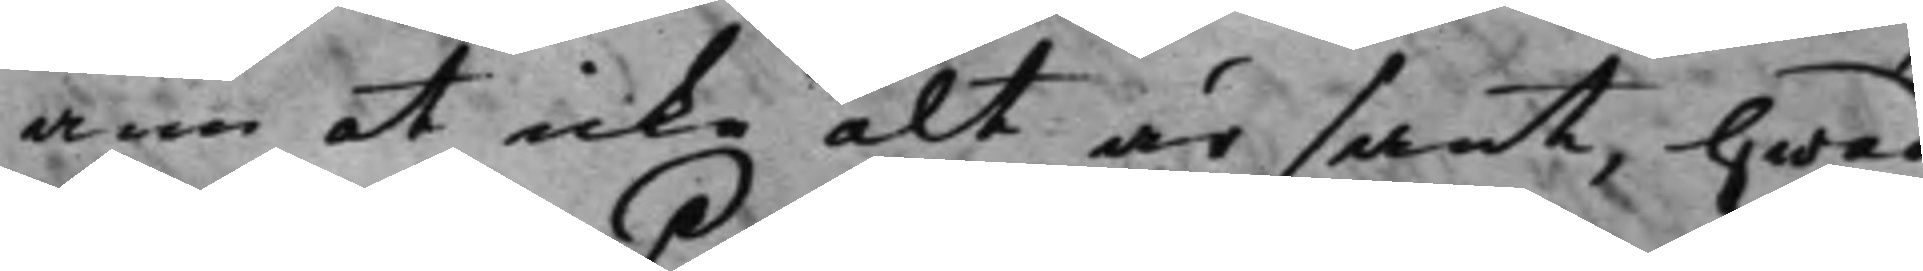änn at icke alt är sant, hwad
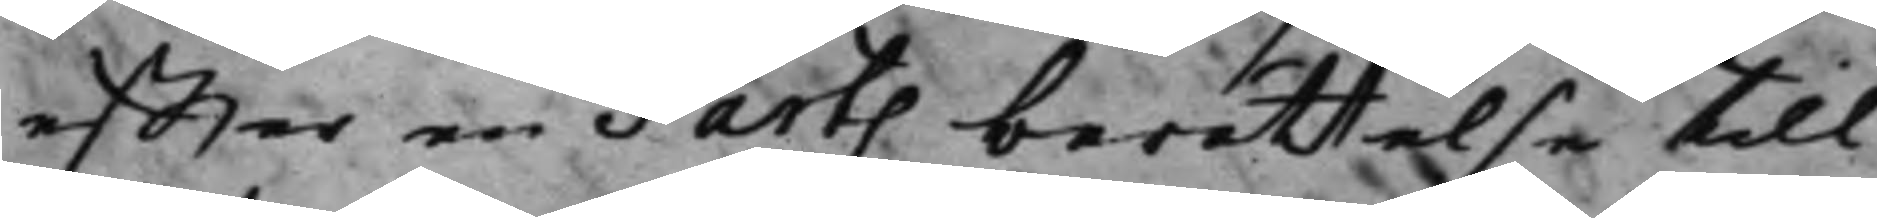effter en Parts berättelse till
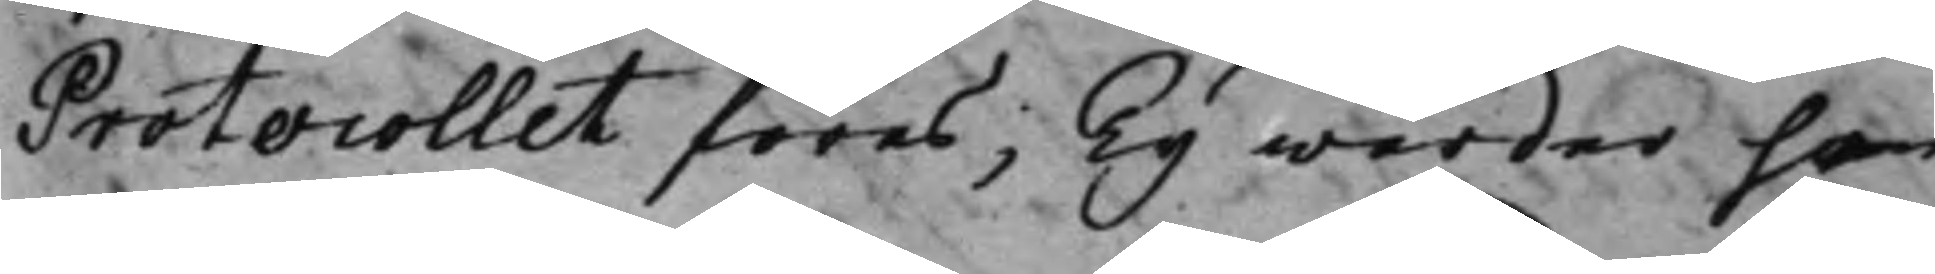Protocollet föres; Ty warder hon
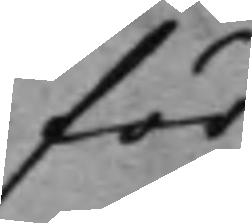för
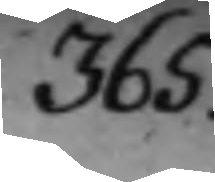365.
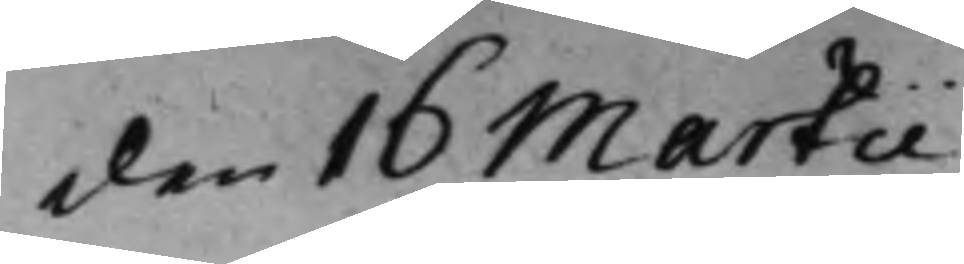den 16 Martii
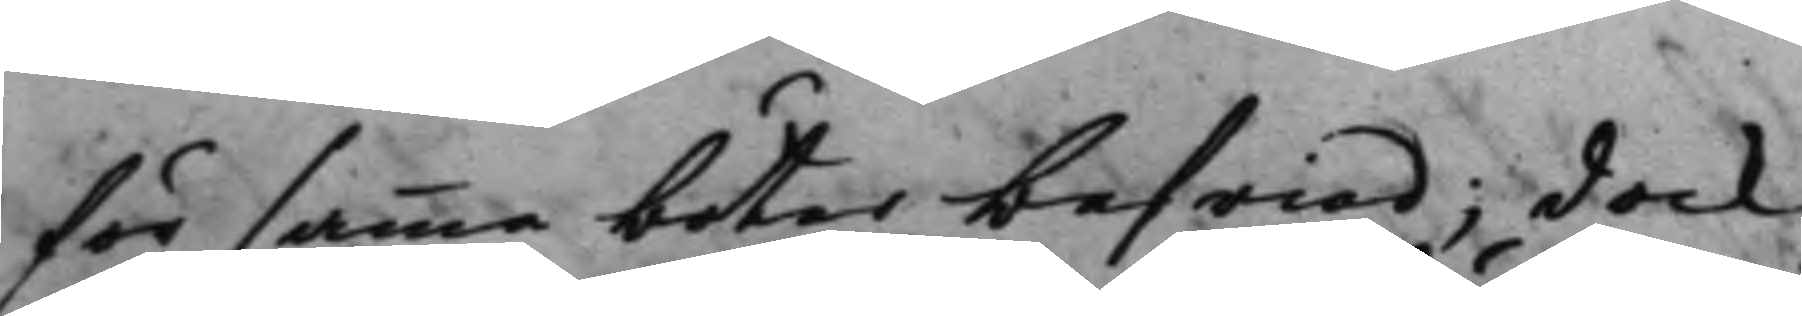för samma böter befriad; dock
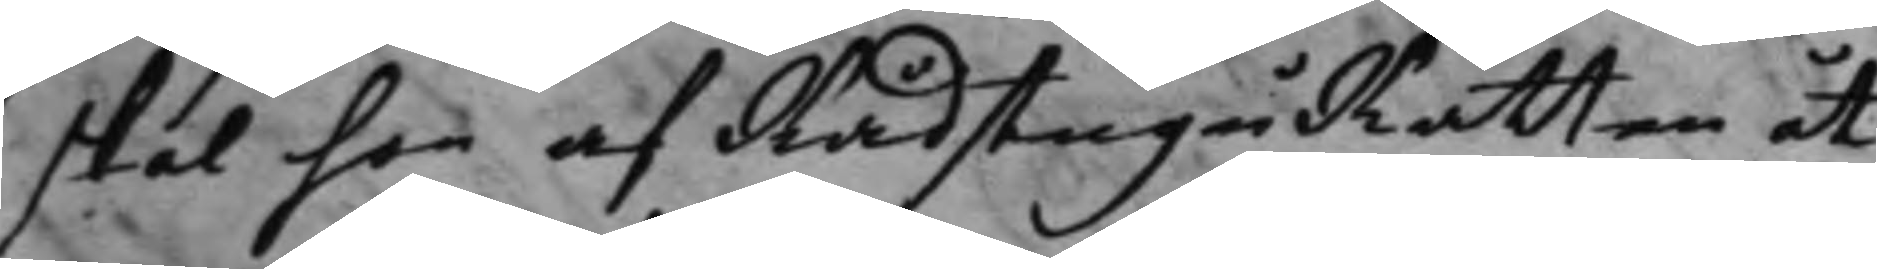skal hon af RådstuguRätten at
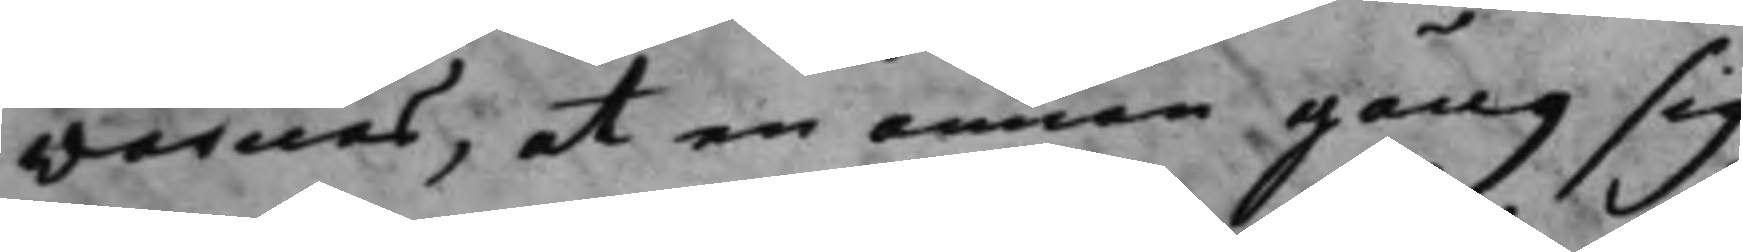varnas, at en annan gång sig
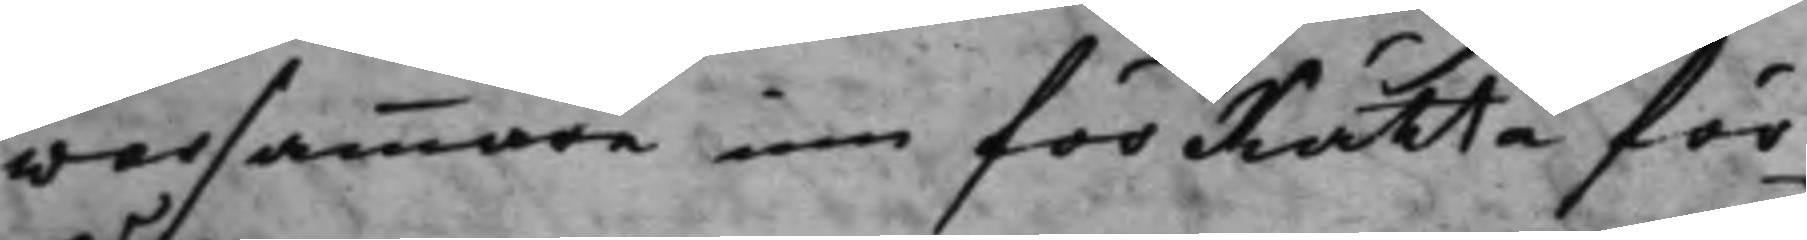varsammare in för Rätta för¬
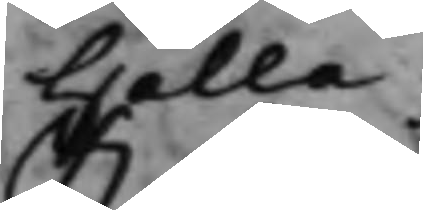hålla.
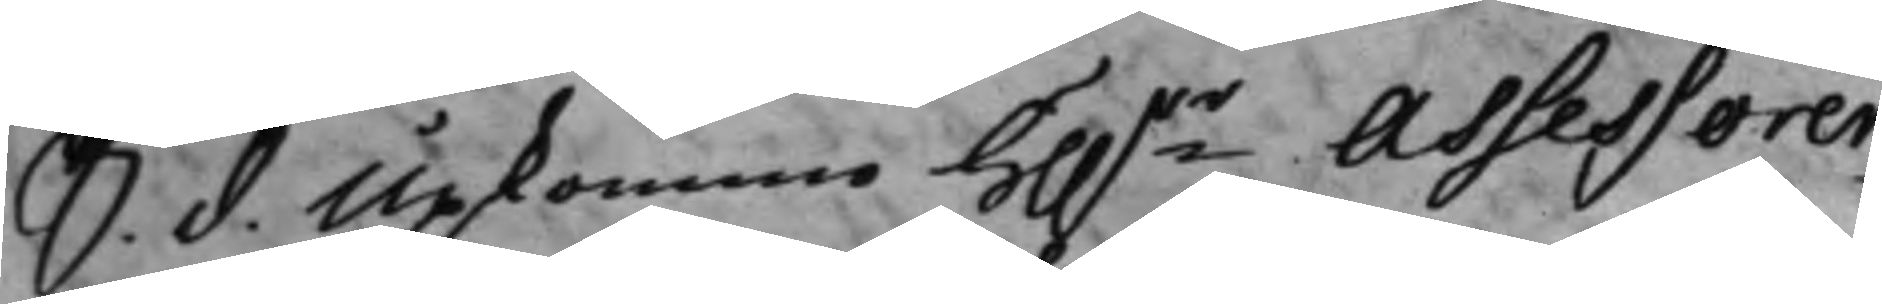S. d. Upkommo H.rr Assessorer¬
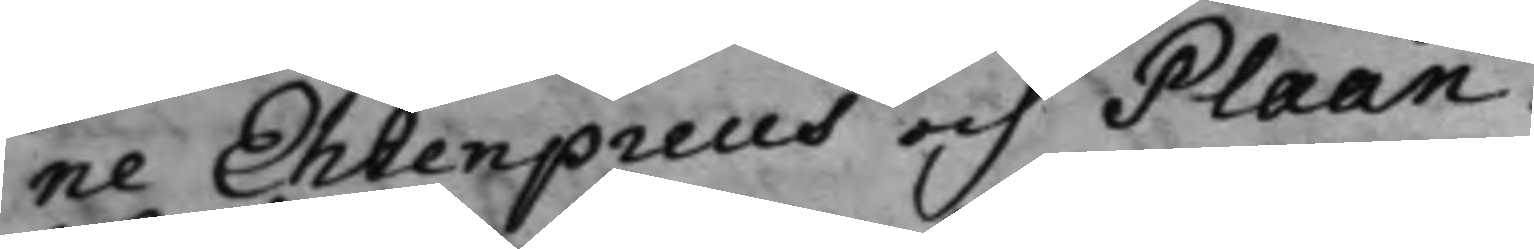ne Ehrenpreus och Plaan.
